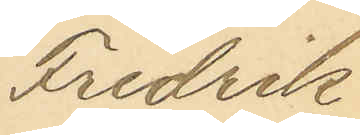Fredrik
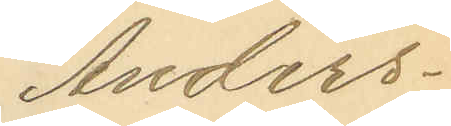Anders¬
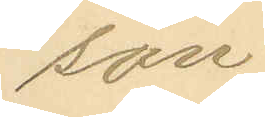son
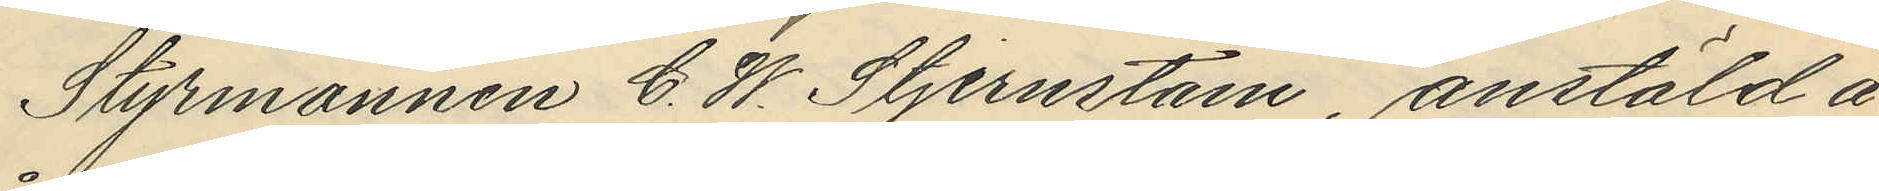Styrmannen C. W. Stjernstam, anstäld å
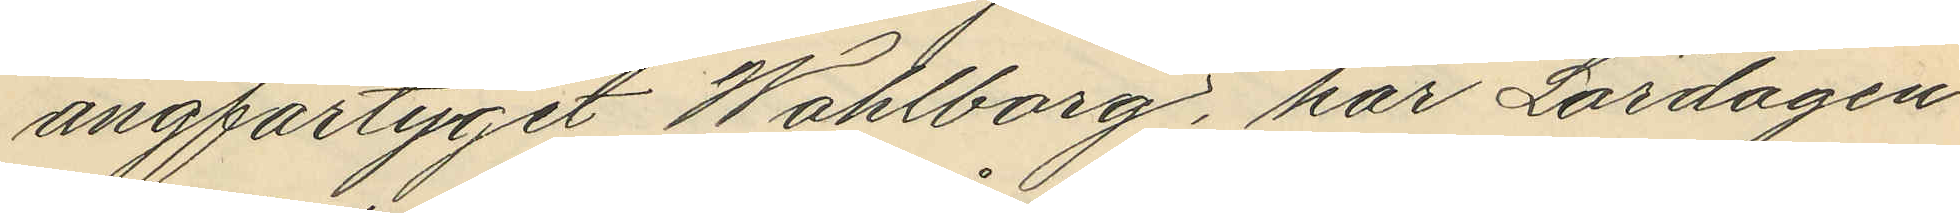ångfartyget Wahlborg, har Lördagen
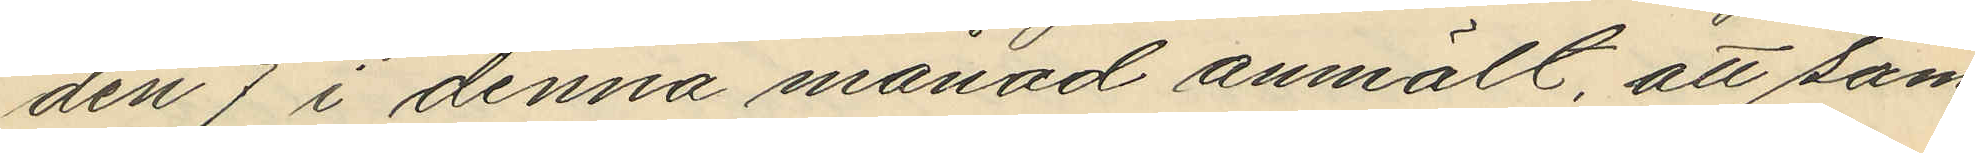den 7 i denna månad anmält, att sam¬
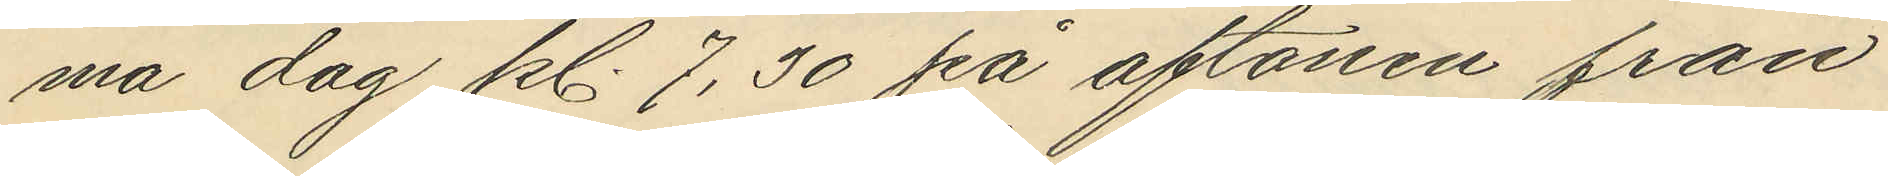ma dag kl. 7,30 på aftonen från
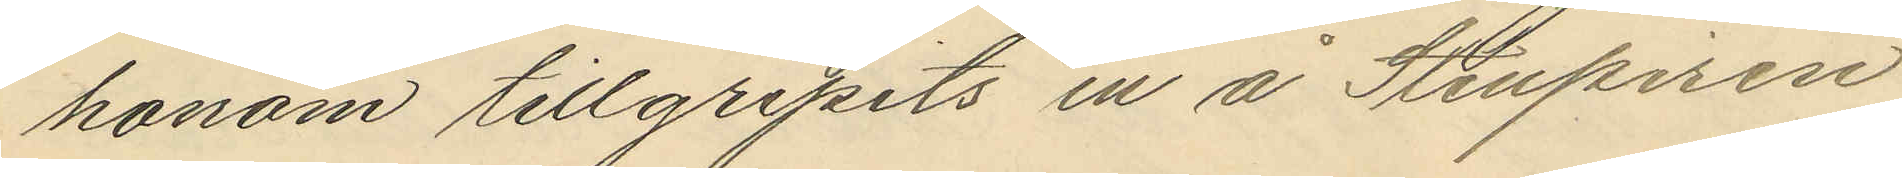honom tillgripits en å Stenpiren
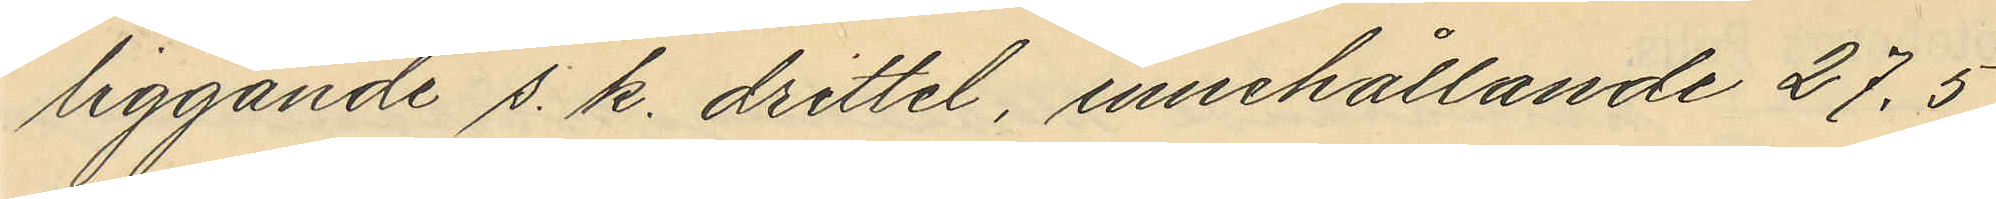liggande s. k. drittel, innehållande 27,5
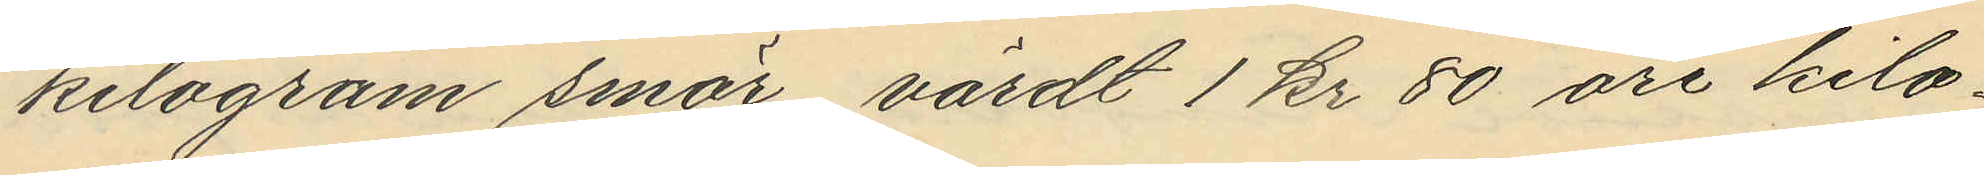kilogram smör, värdt 1 kr 80 öre kilo¬
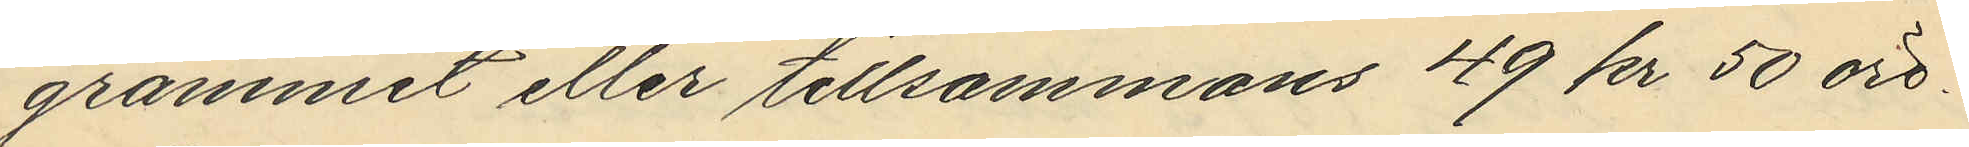grammet eller tillsammans 49 kr 50 öre.
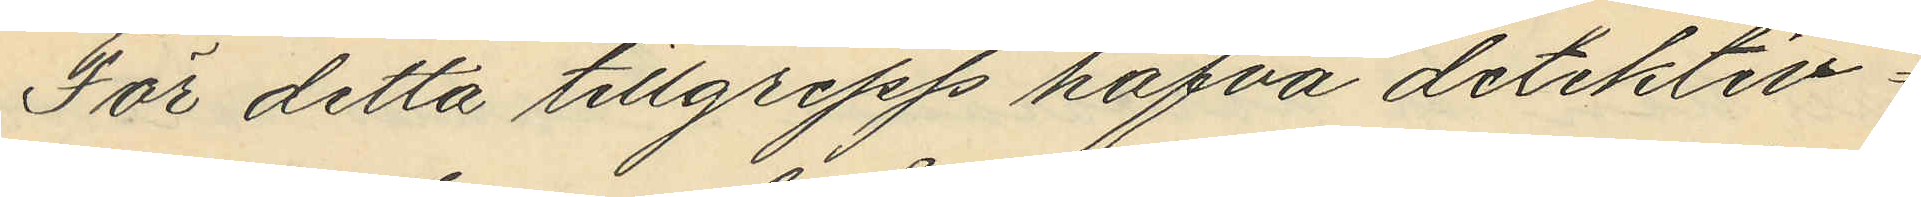För detta tillgrepp hafva detektiv¬
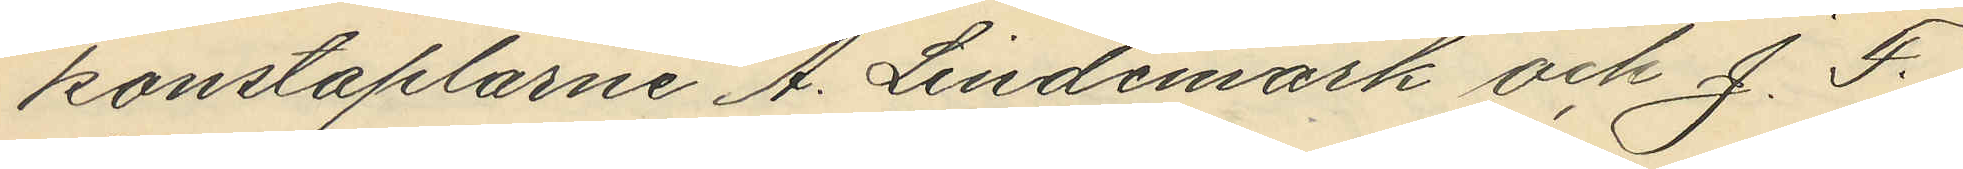konstaplarne A. Lindemark och J. F.
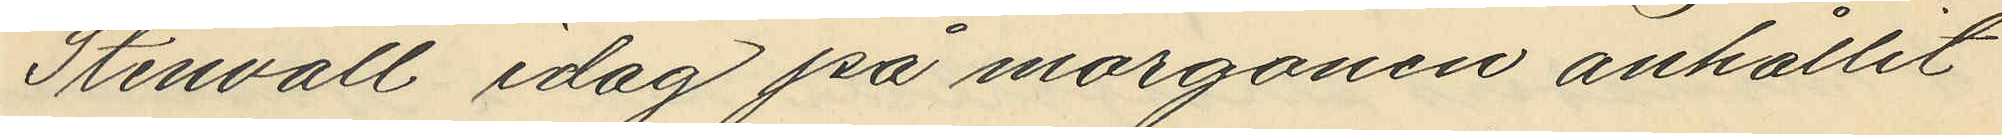Stenvall idag på morgonen anhållit
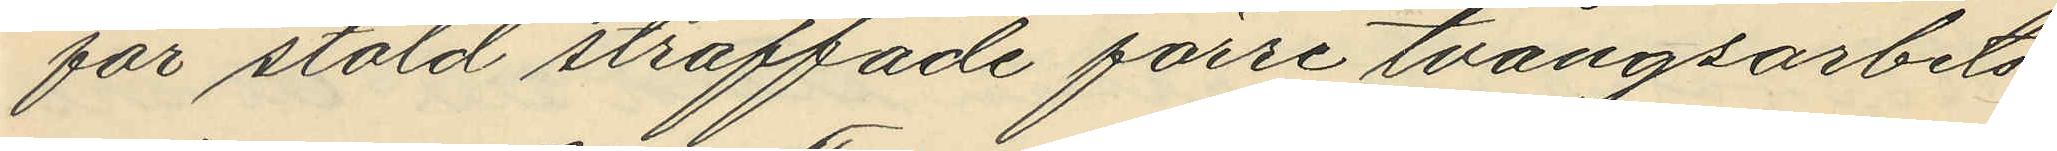för stöld straffade förre tvångsarbets¬
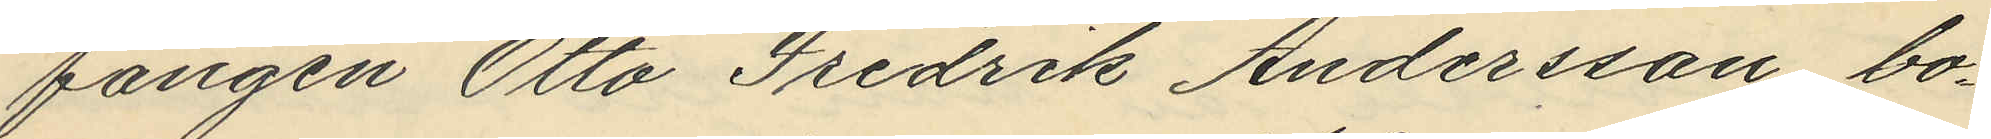fången Otto Fredrik Andersson bo¬
